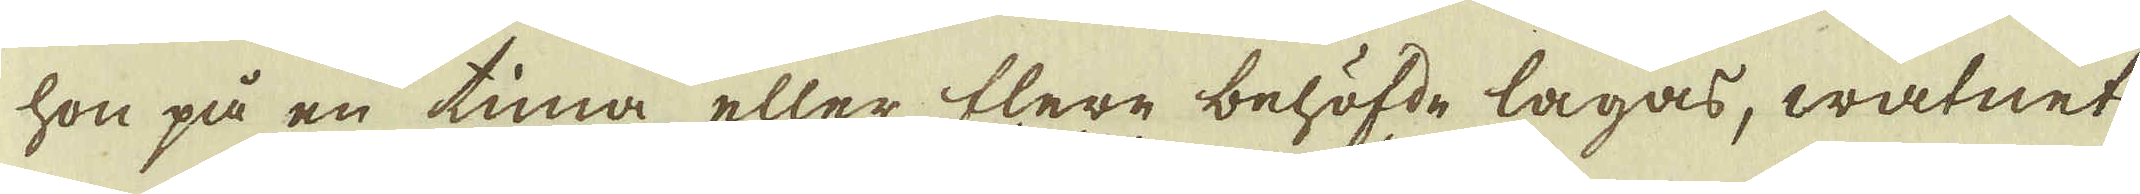hon på en tima eller flere behöfde lagas, watnet
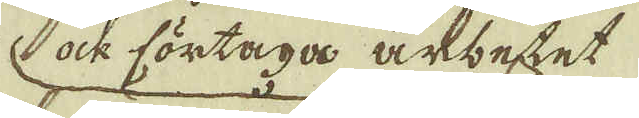ock förtaga arbetet
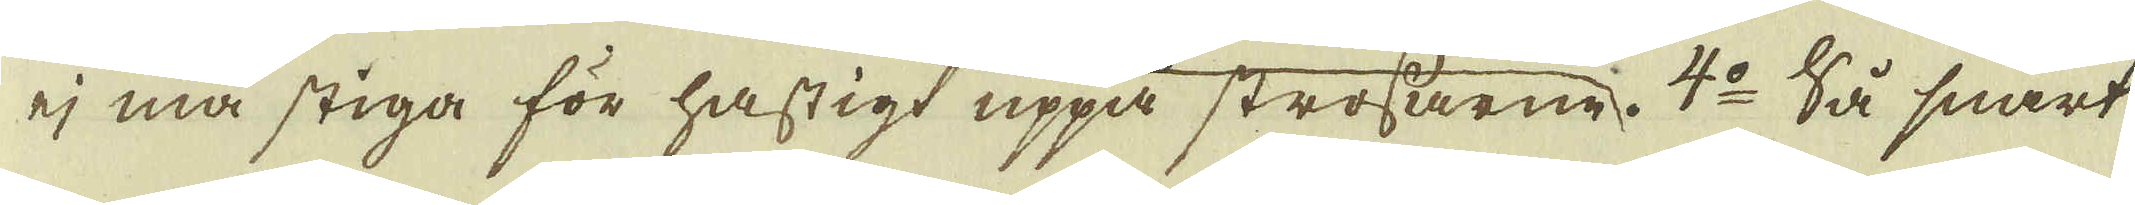ej må stiga för hastigt uppå strossarne. 4:o Så snart
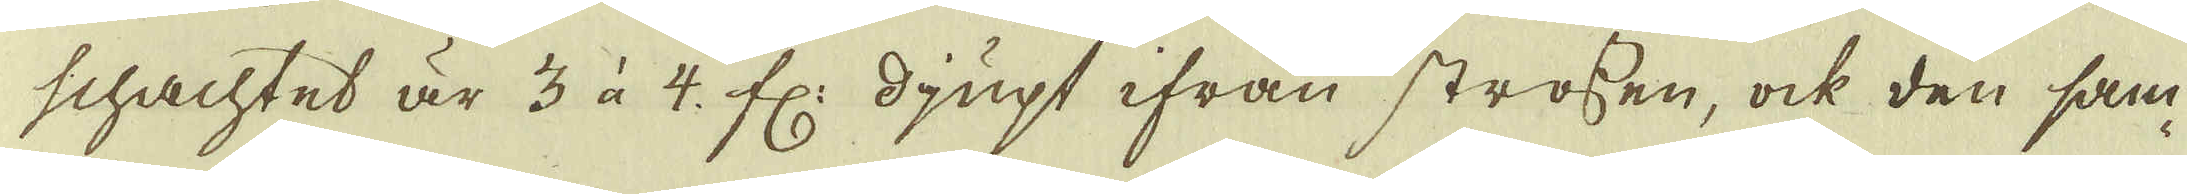schachtet är 3 à 4 fr: djupt ifrån strossen, ock den sam-
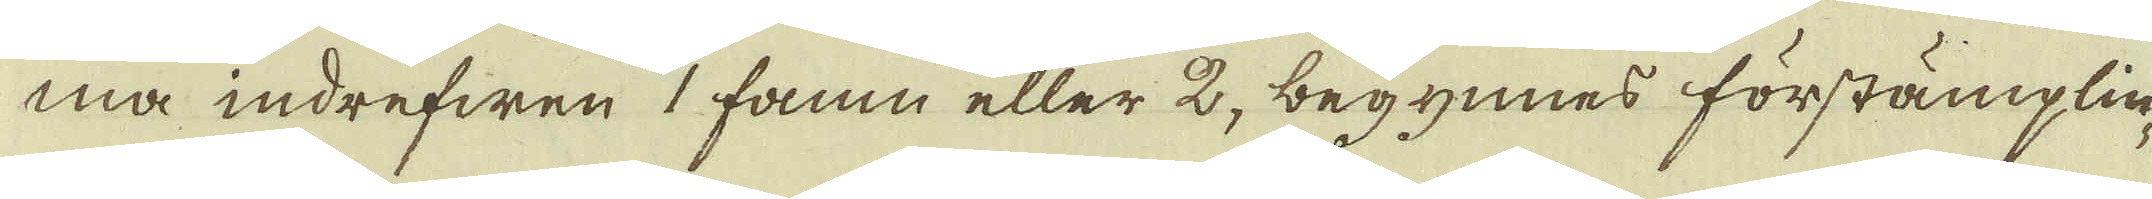ma indrefwen 1 famn eller 2, begynnes förstämplin-
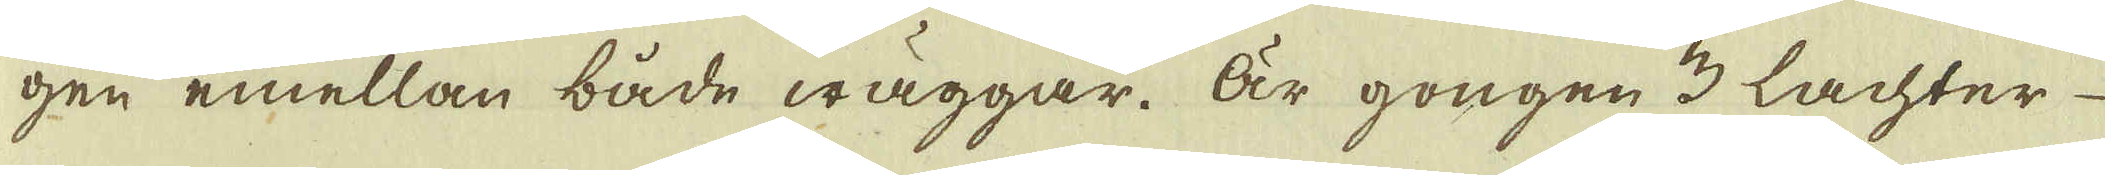gen emellan både wäggar. Är gongen 3 Lachter
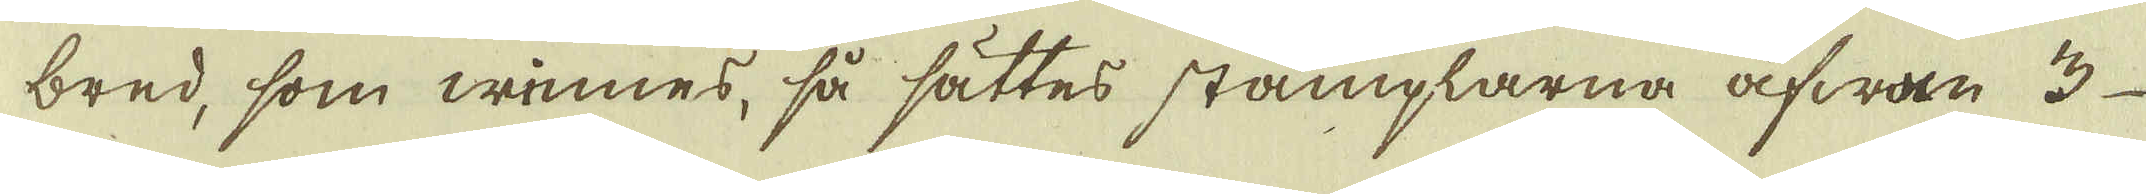bred, som winnes, så sättes stämplarna åfwan 3
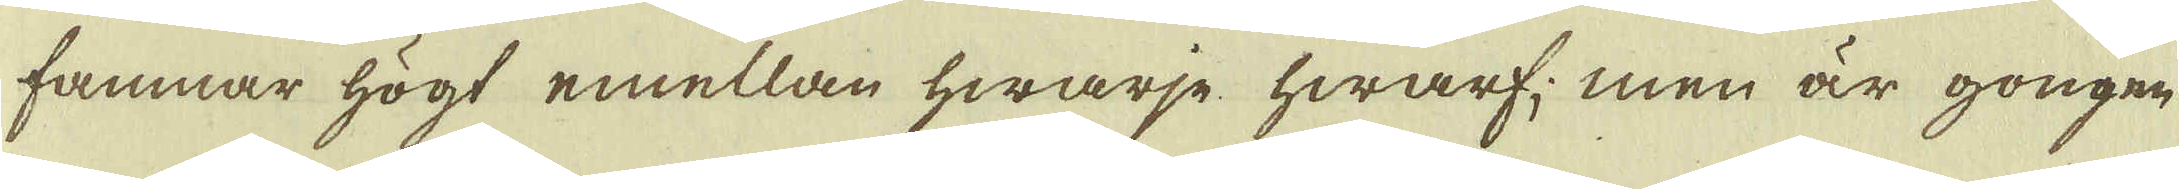famnar högt emellan hwarje hwarf; men är gongen
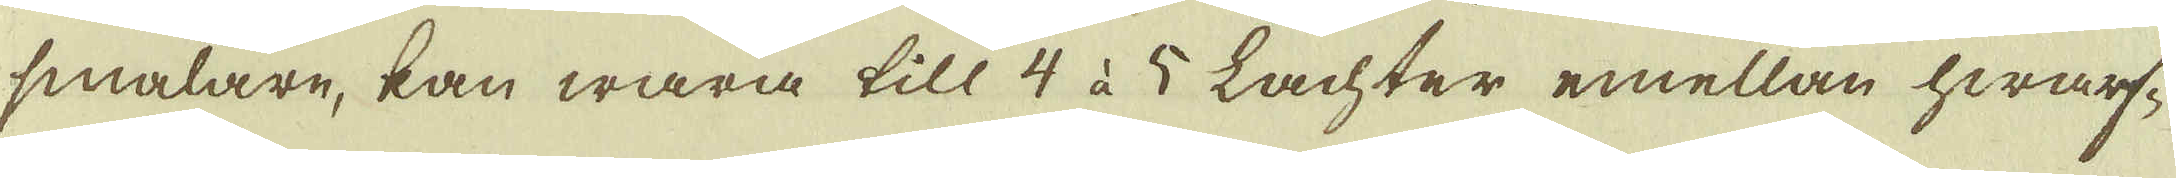smalare, kan wara till 4 à 5 Lachter emellan hwarf-
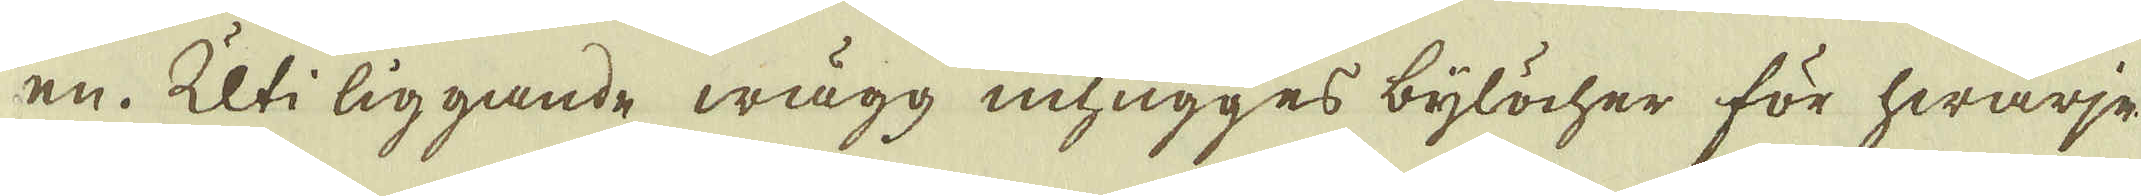en. Uti liggande wägg inhugges bylöcher för hwarje
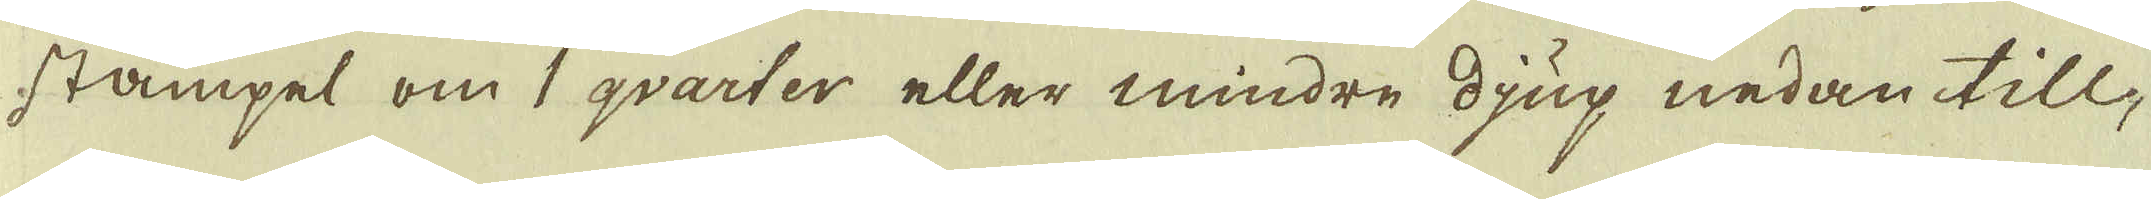stämpel om 1 qvarter eller mindre djup nedan till,
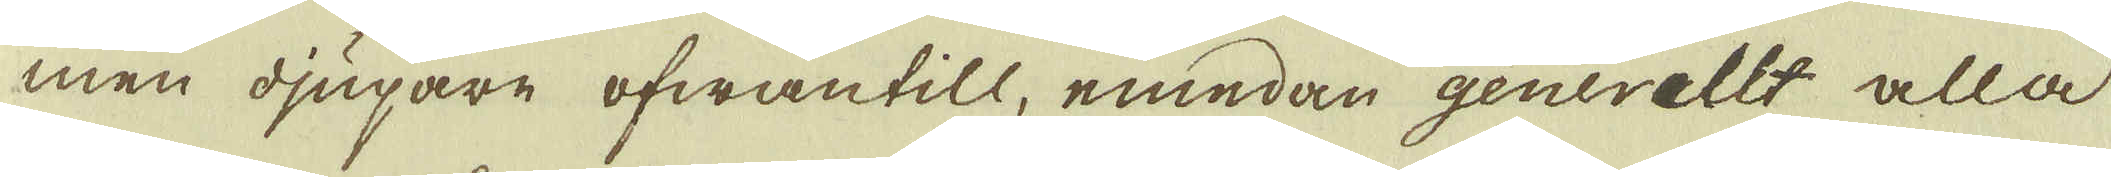men djupare ofwantill, emedan generellt alla
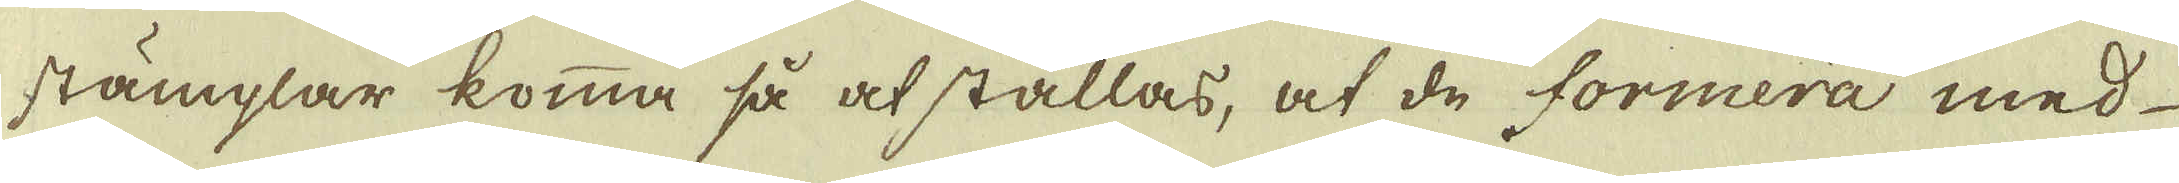stämplar komma så at ställas, at de formera med
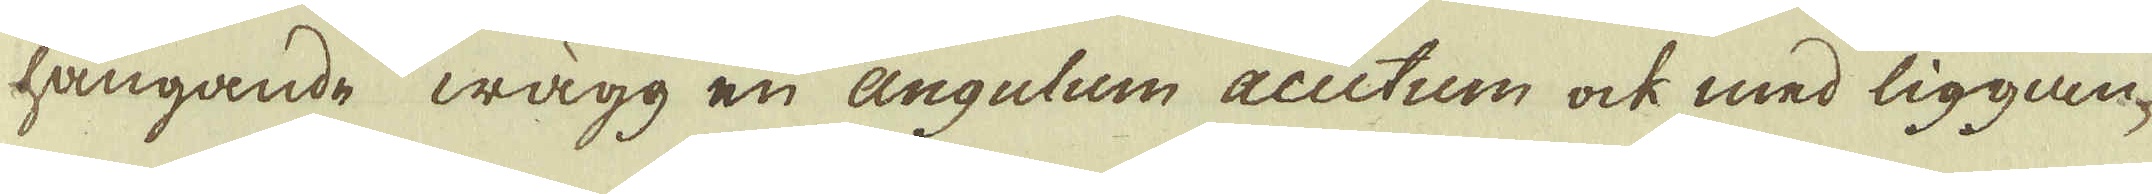hängande wägg en angulum auctum ock med liggan-
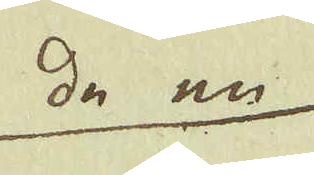de en
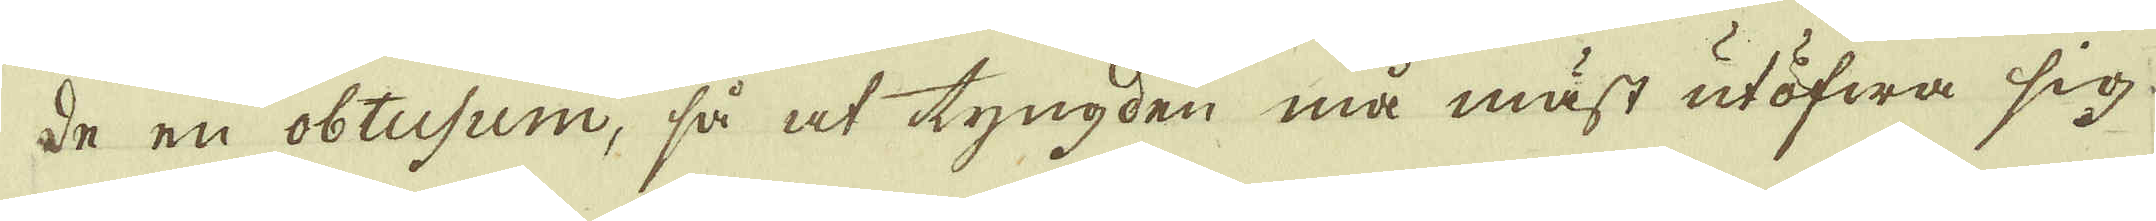de en obtusum, så at tyngden må mäst utöfwa sig
